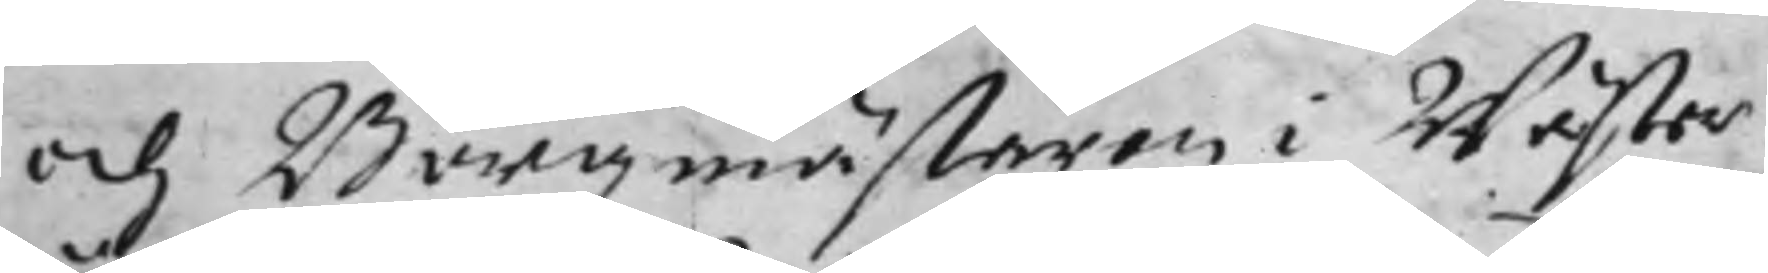och Borgmästaren i Wäster¬
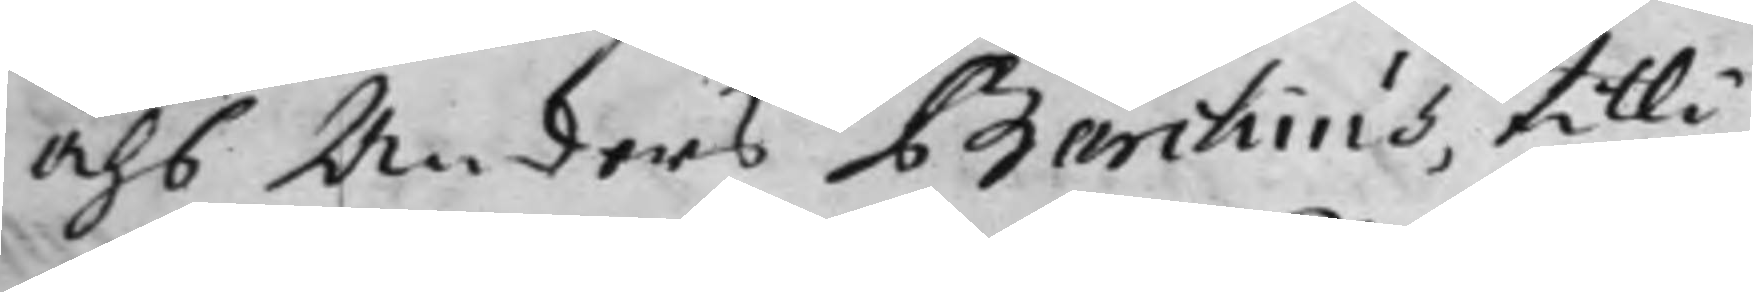åhs Anders Barckius, tilli¬
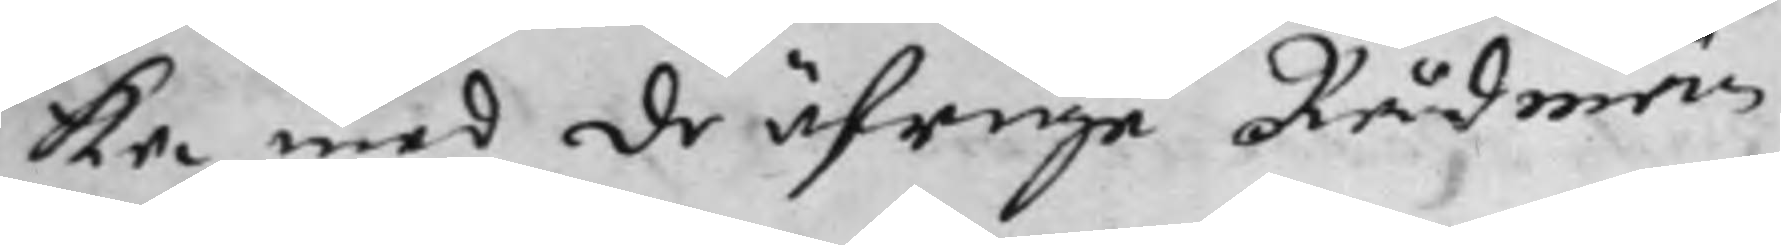ka med de öfrige Rådmän¬
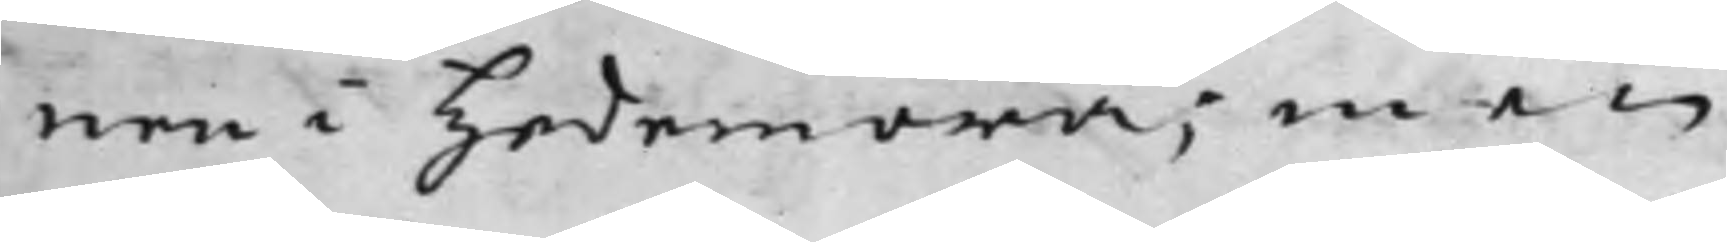nen i Hedemora; men
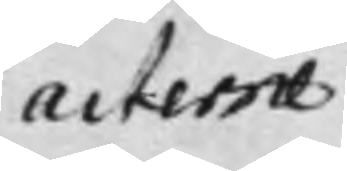acterne
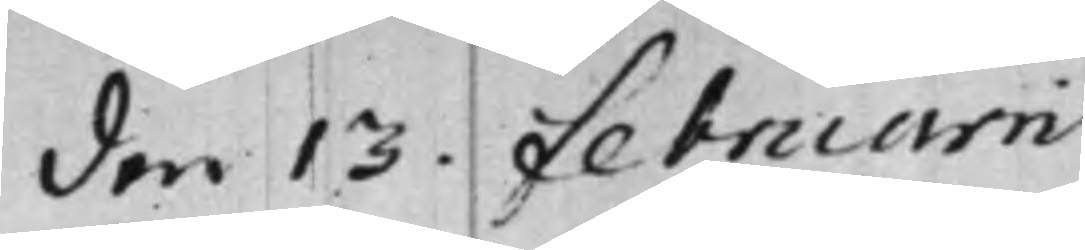den 13. Februarii
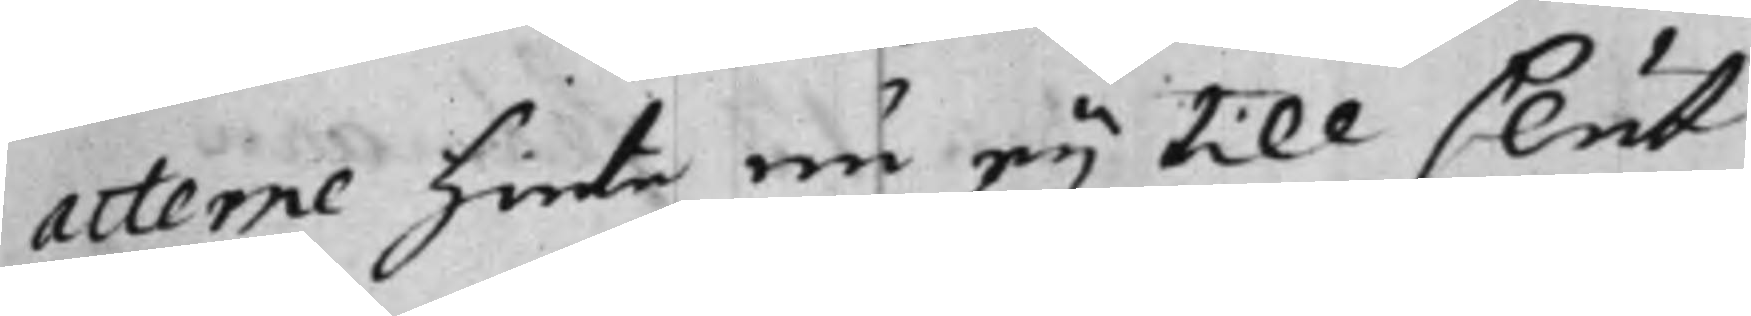acterne hinte nu eij till slut
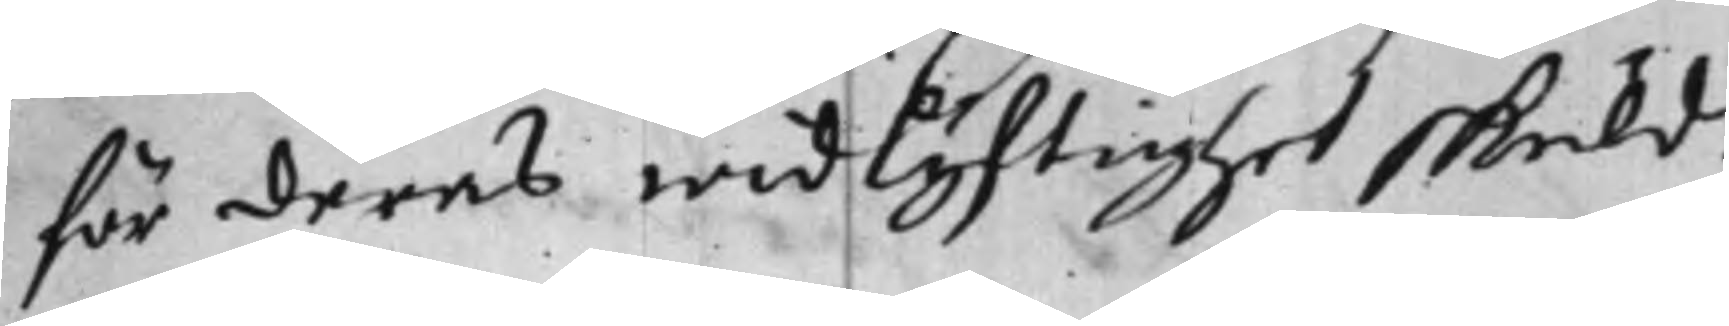för deras widlyftighet skuld.
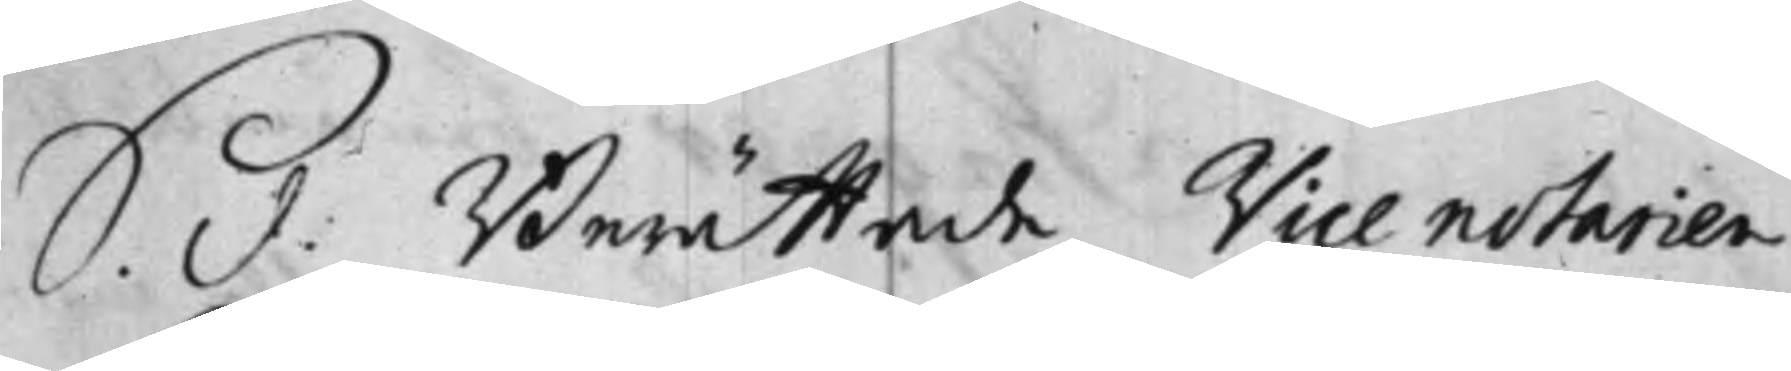S. d: Berättade Vice notarien
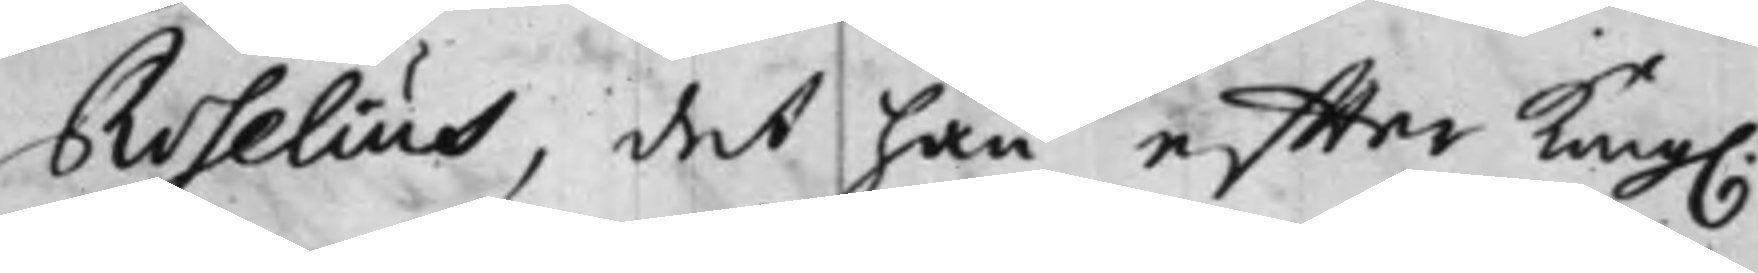Roselius, det han effter Kong.
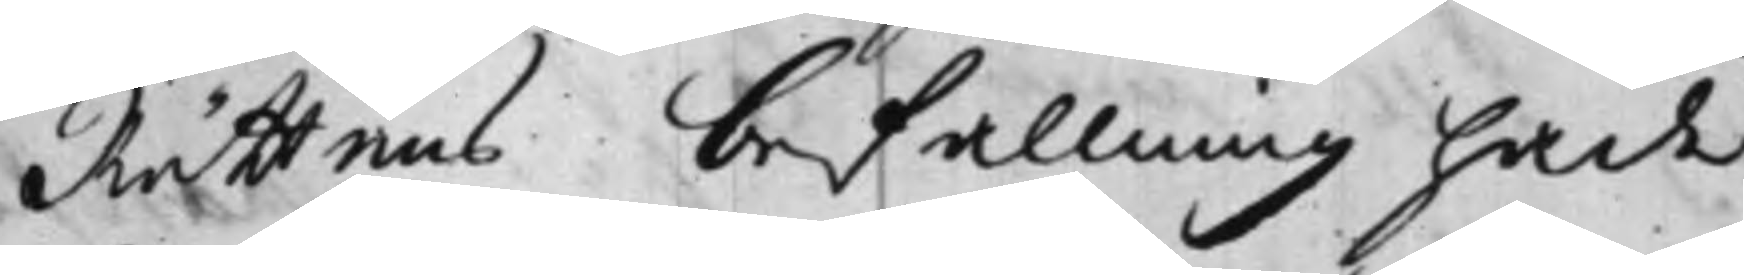Rättens befallning hade
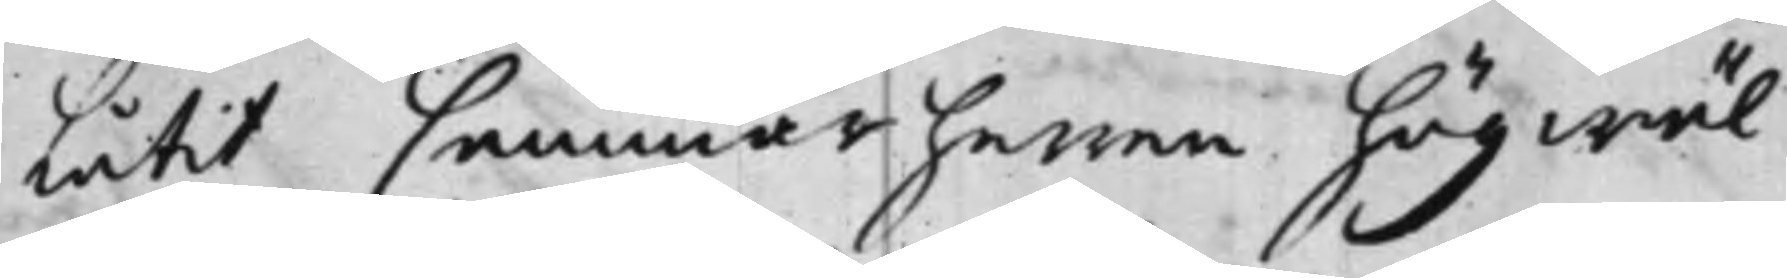Låtit Cammarherren högwäl¬
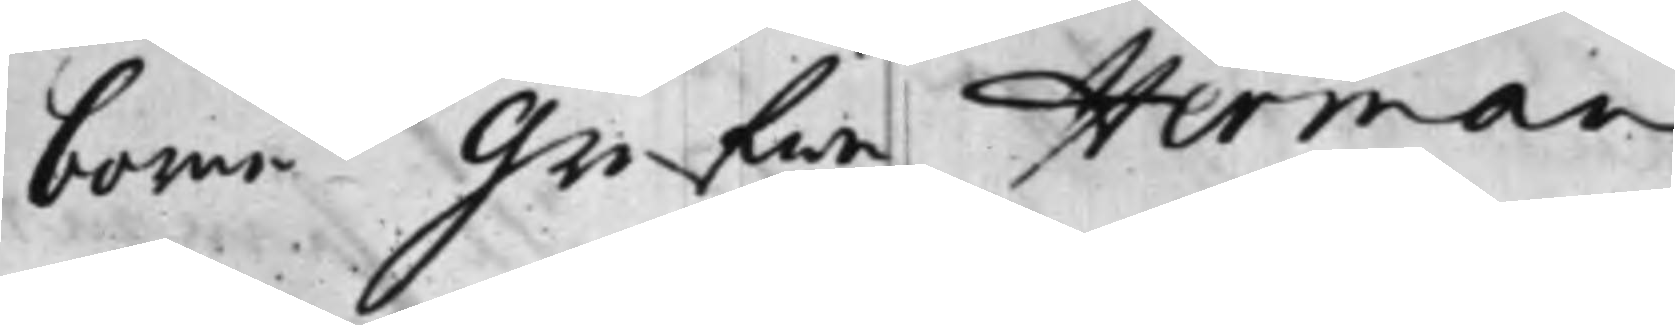borne Grefwe Herman
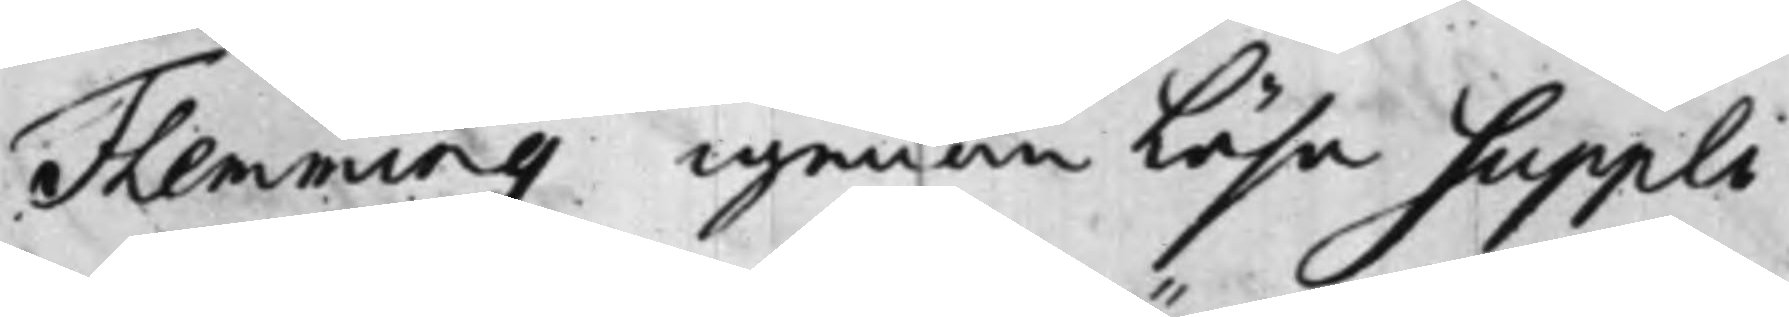Flemming igenom Läsa Suppli¬
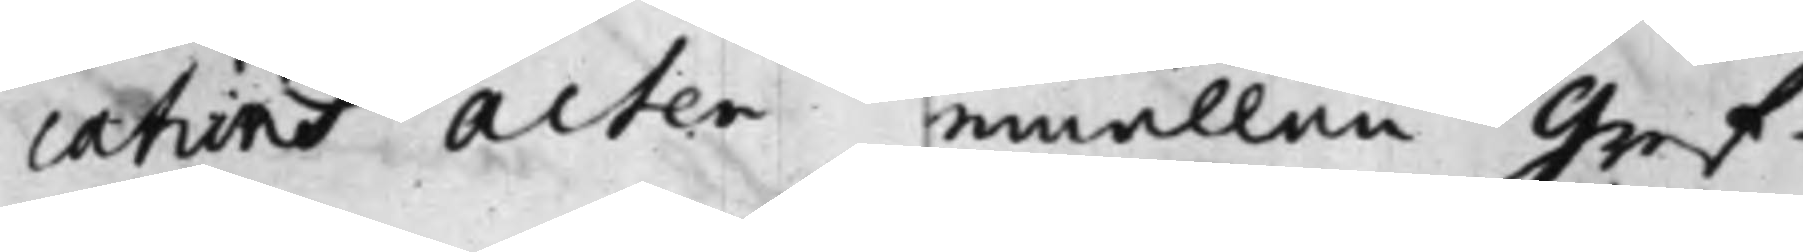cations acten emällan Gref¬
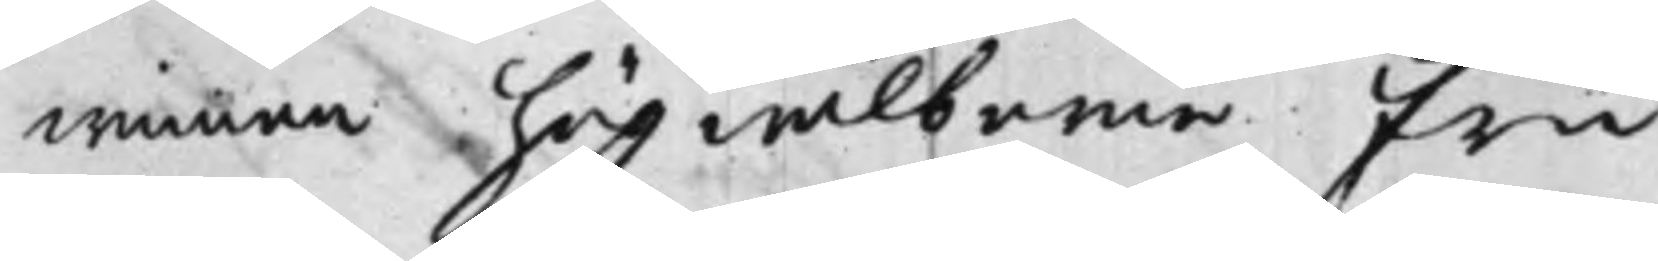winnan högwälborne Fru
